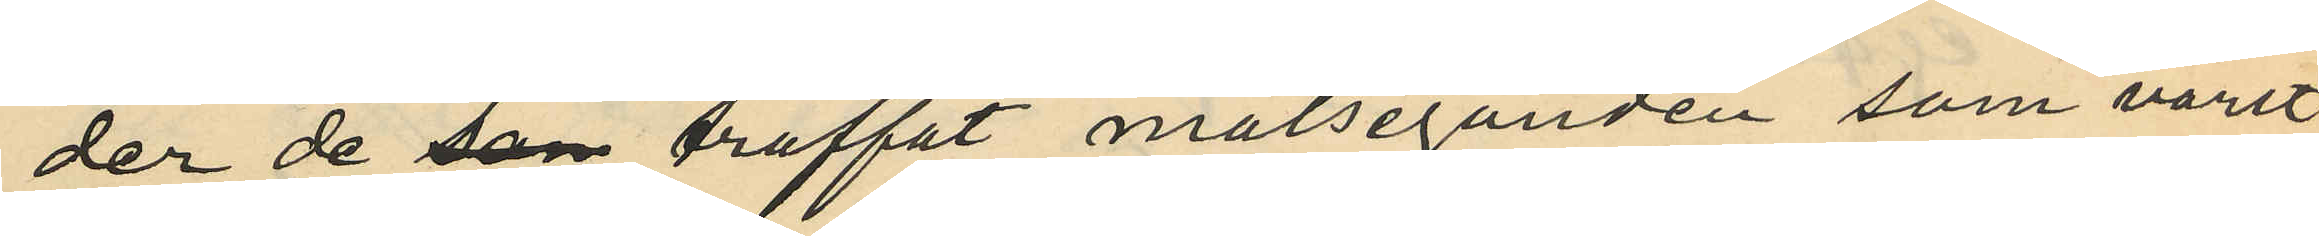der de som träffat målseganden som varit
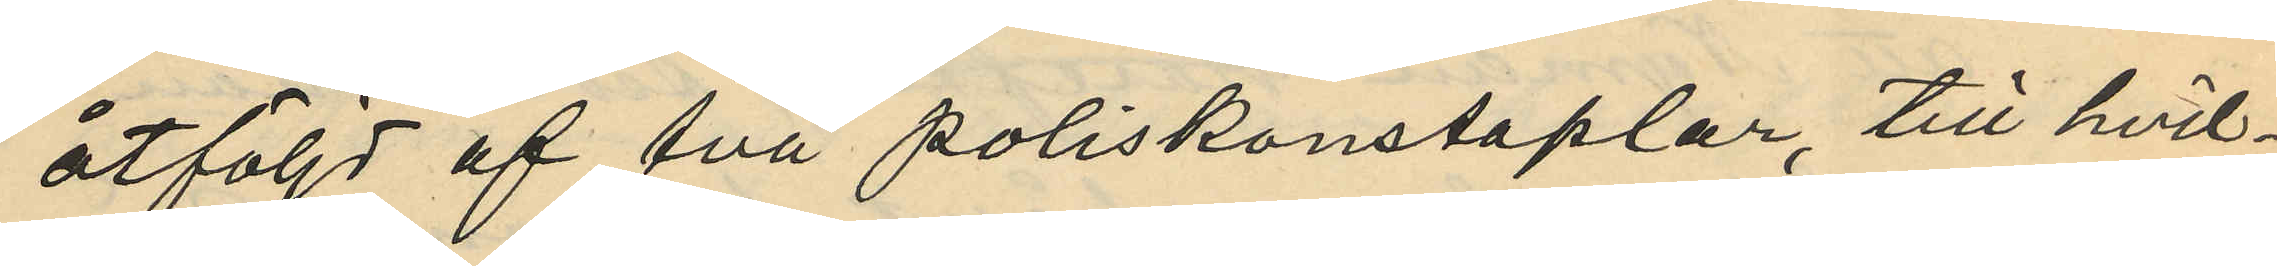åtföljd af två poliskonstaplar, till hvil¬
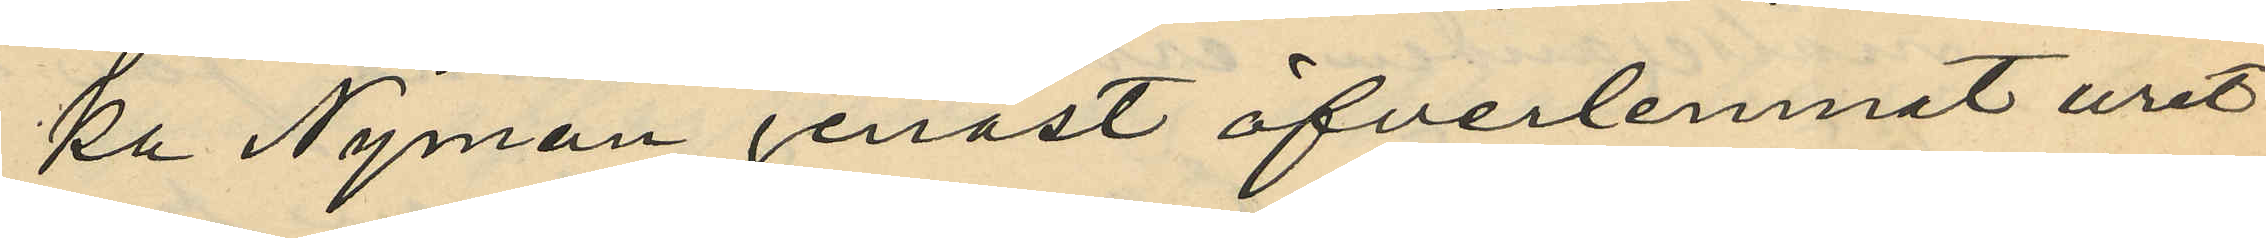ka Nyman genast öfverlemnat uret
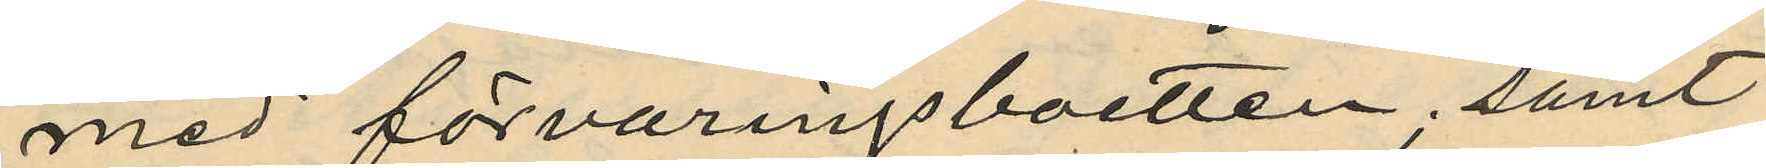med förvaringsboetten, samt
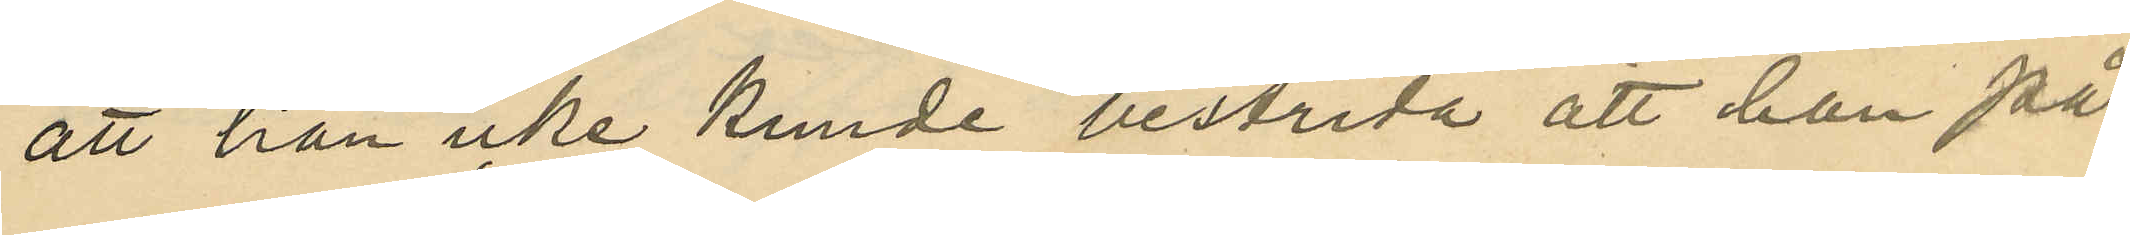att han icke kunde bestrida att han på
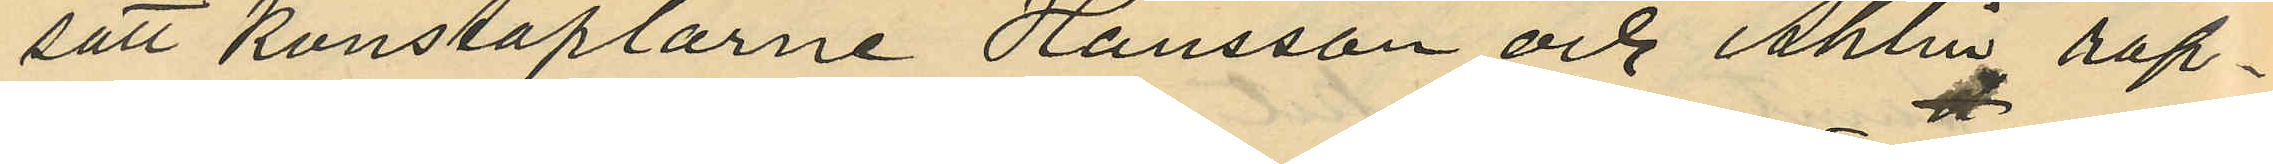sätt Konstaplarne Hansson och Åhlén rap¬
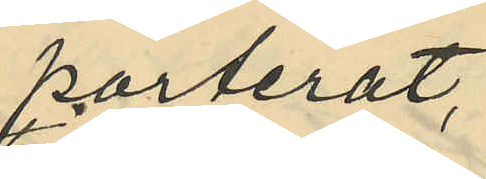porterat,
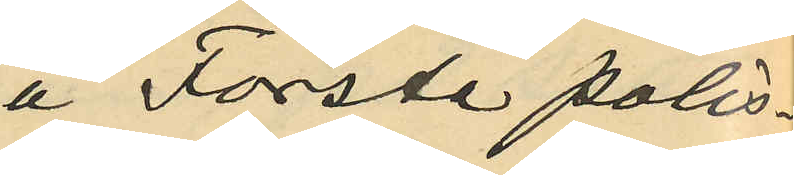å Första polis¬
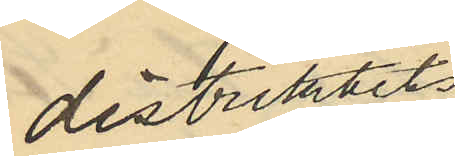distriktets
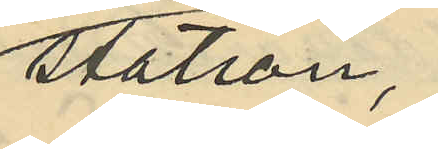station,
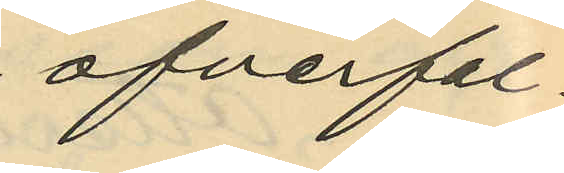öfverfal¬
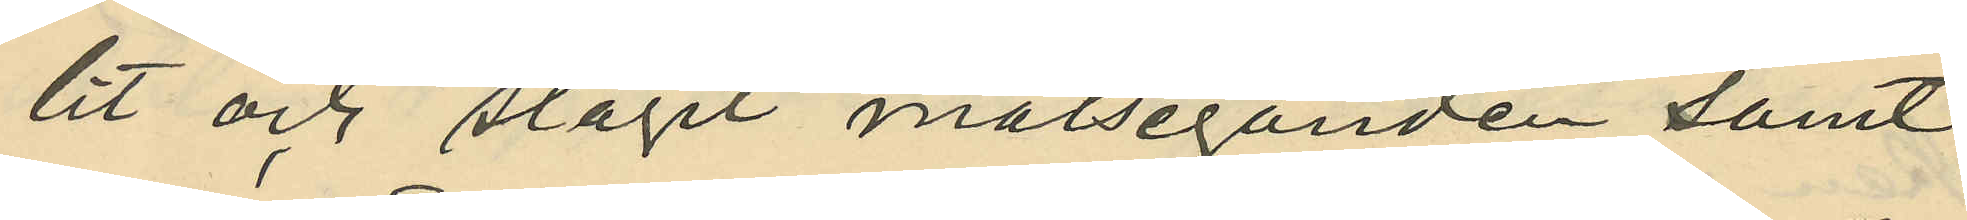lit och slagit målseganden samt
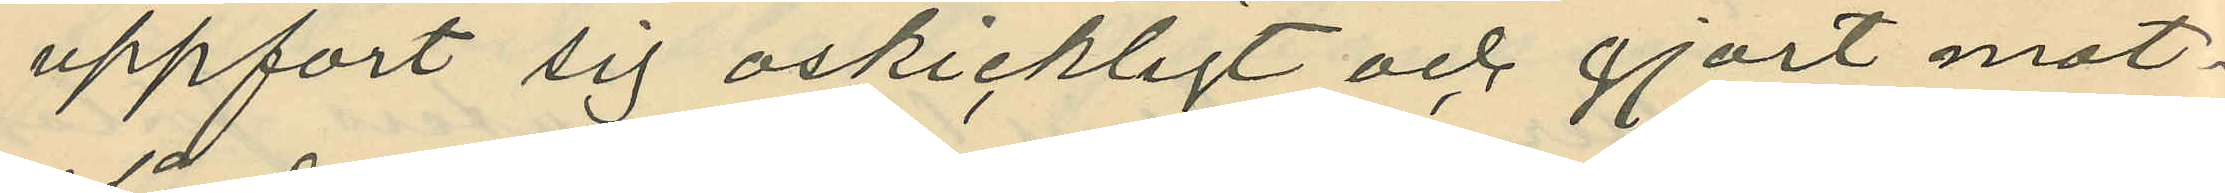uppfört sig oskickligt och gjort mot¬
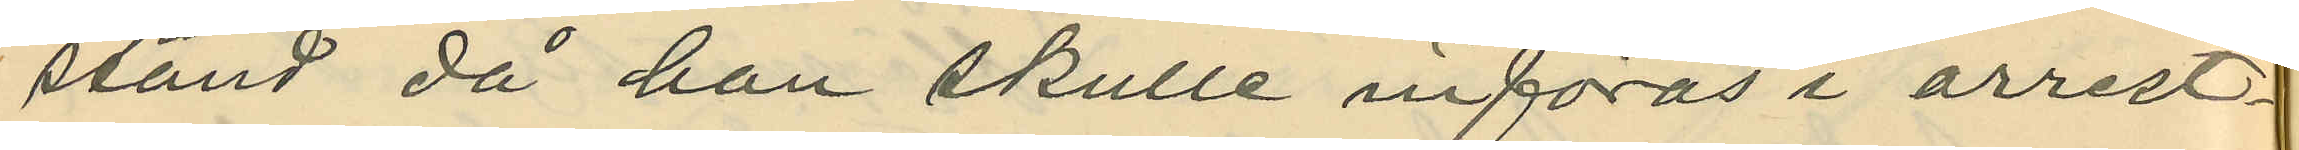stånd då han skulle införas i arrest¬
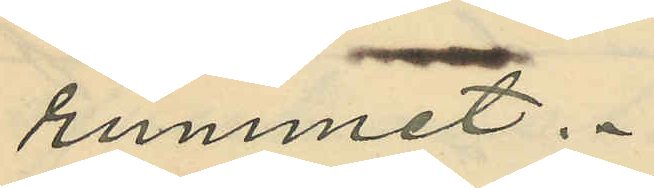rummet.
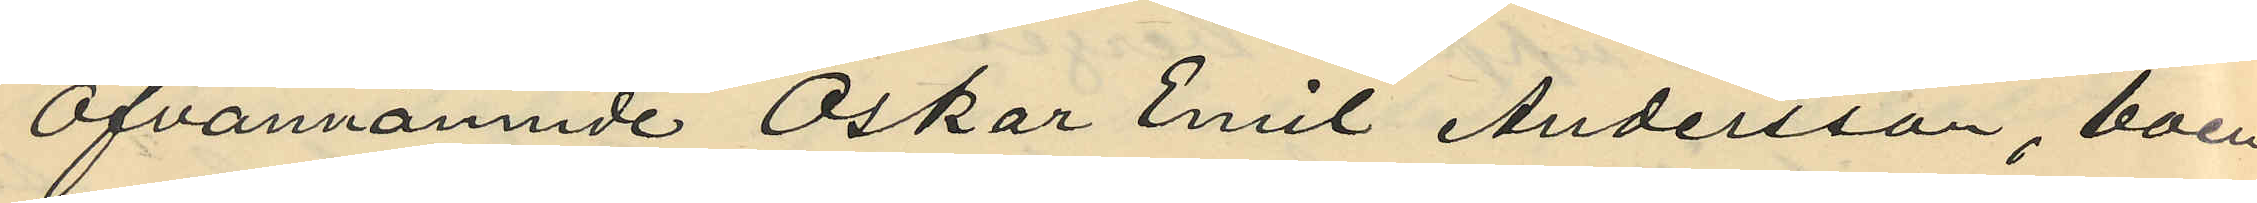Ofvannämnde Oskar Emil Andersson, boen¬
